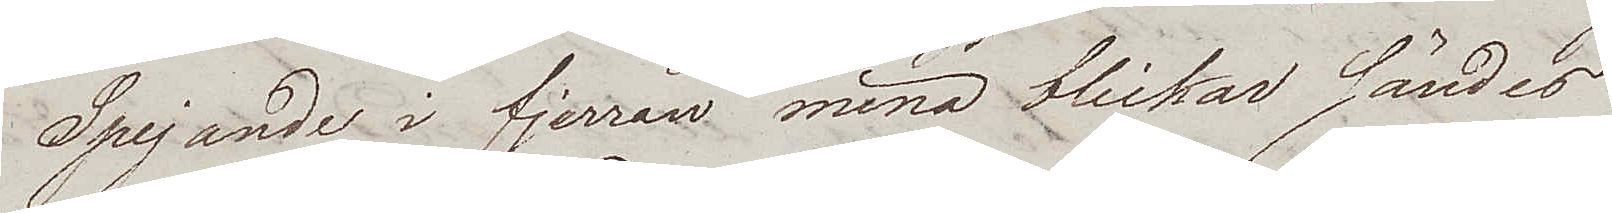Spejande i fjerran mina blickar sändes
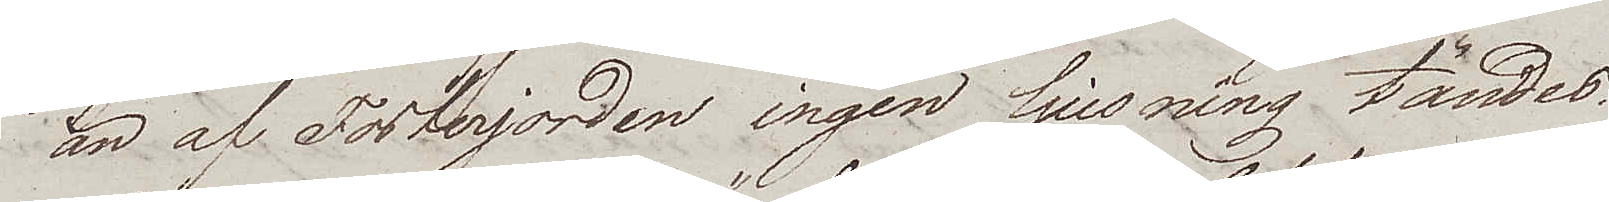än af Fosterjorden ingen ljusning tändes.
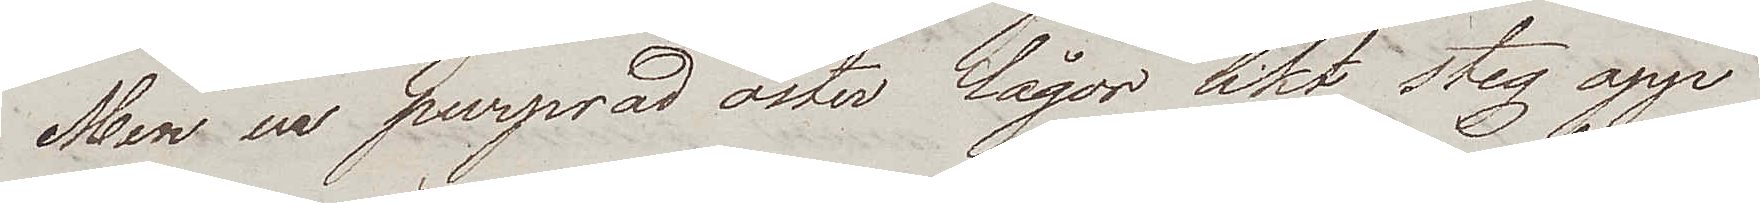Men ur purprad öster lågor likt steg opp
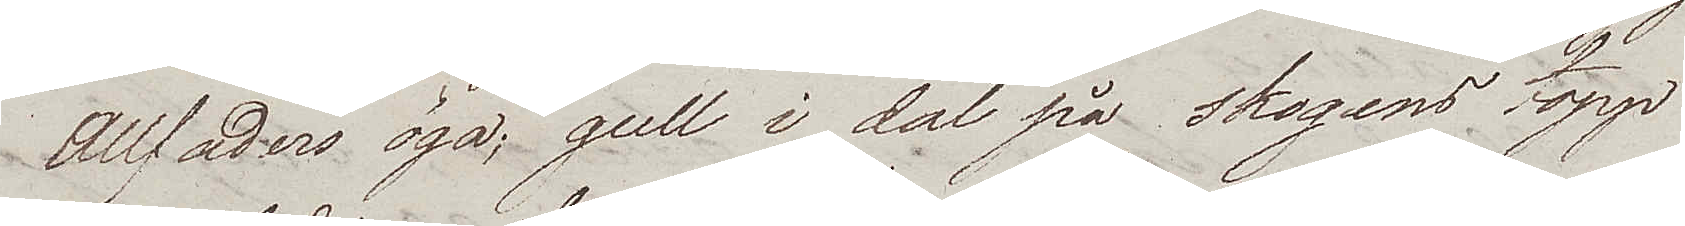Allfaders öga; gull i dal på skogens topp
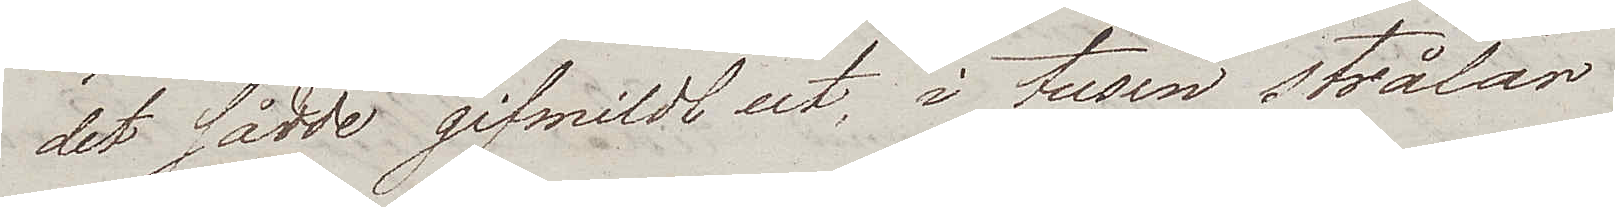det sådde gifmildhet, i tusen strålar.
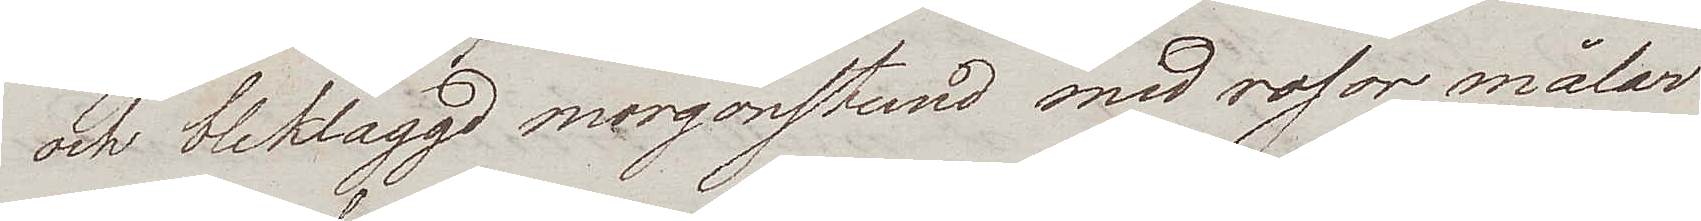och bleklaggd morgonstund med rosor målar
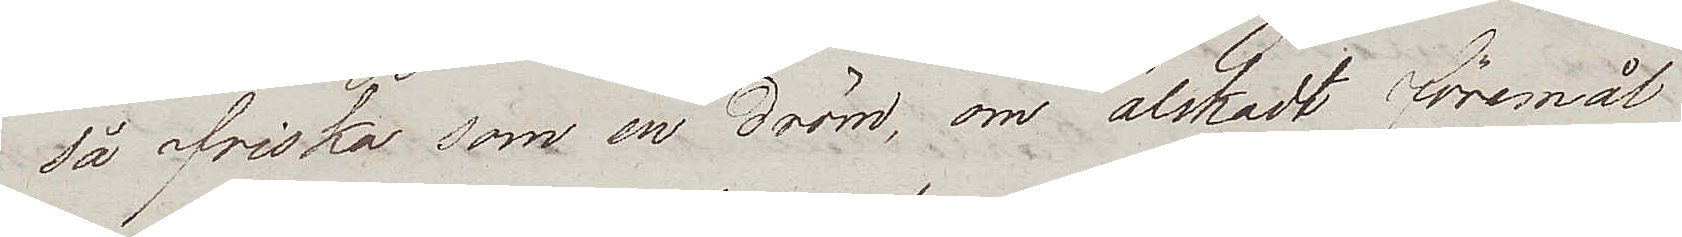så friska som en dröm, om älskadt föremål
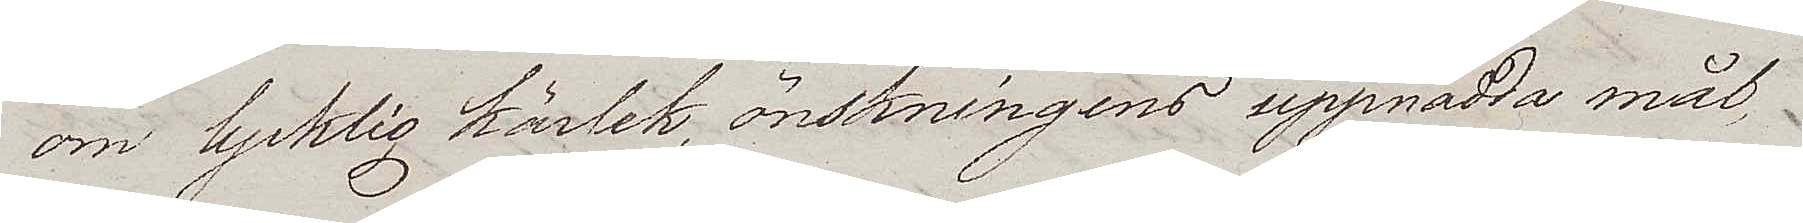om lycklig kärlek, önskningens uppnådda mål
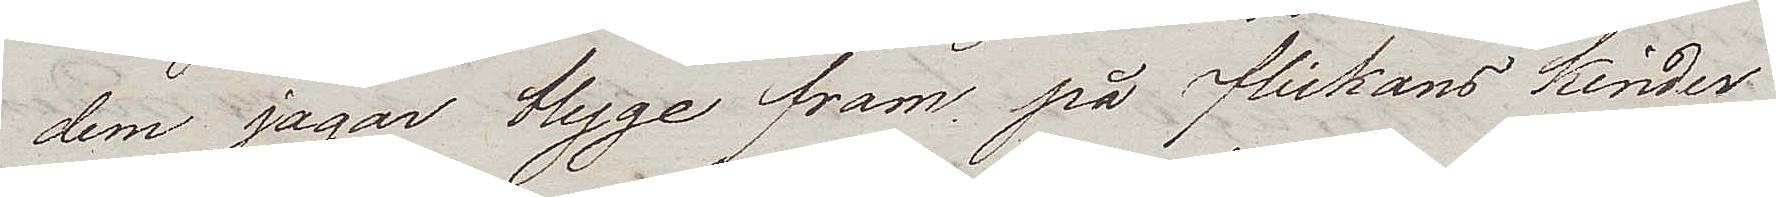dem jagar blyge fram på flickans kinder
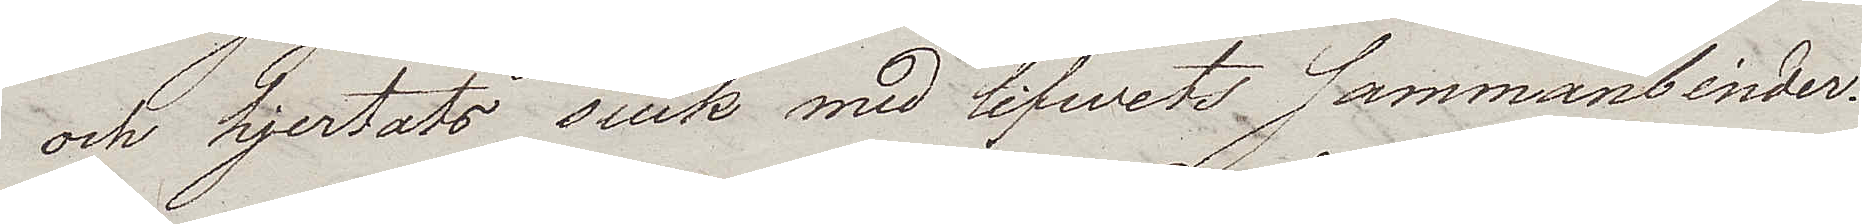och hjertats suck med lifwets sammanbinder.
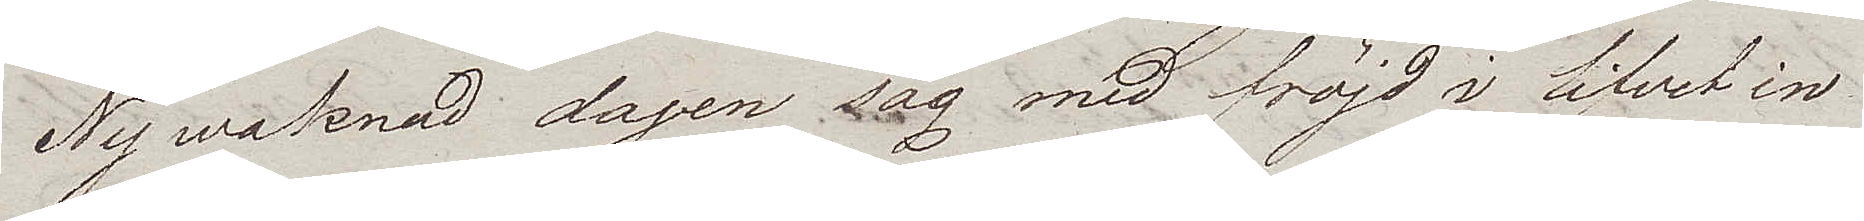Nywaknad dagen såg med fröjd i lifvet in
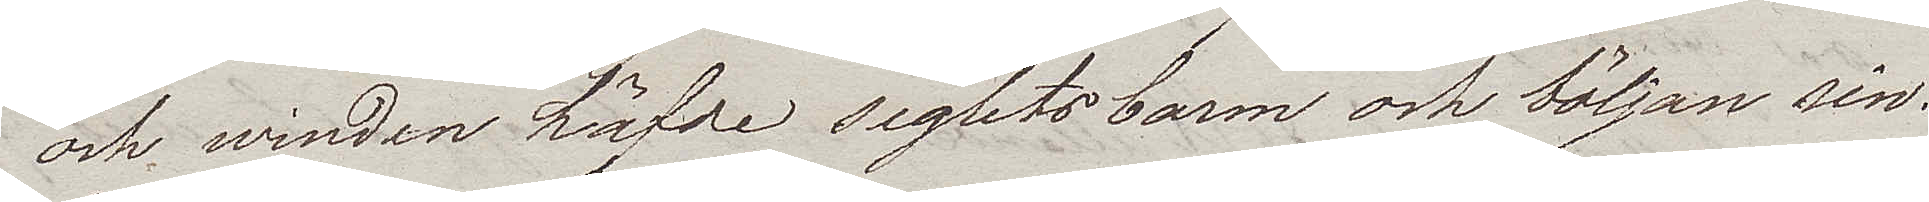och winden häfde seglets barm och böljan sin.
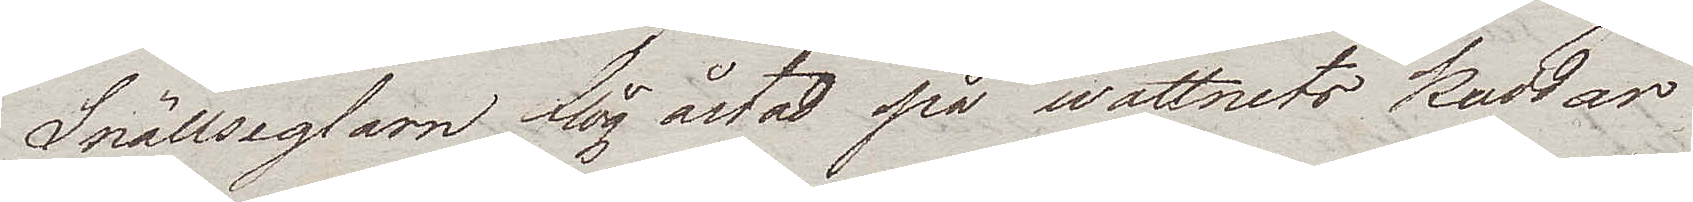Snällseglarn flög åstad på wattnets kuddar
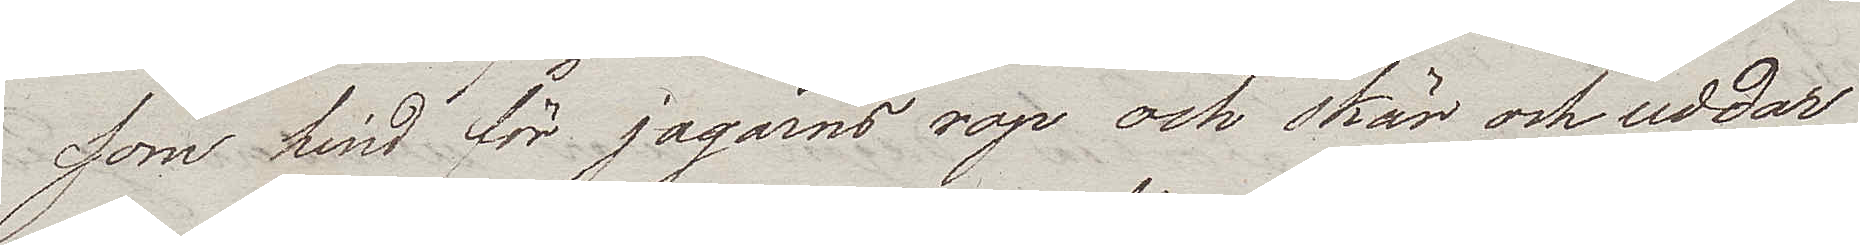som hind för jägarns rop och skär och uddar
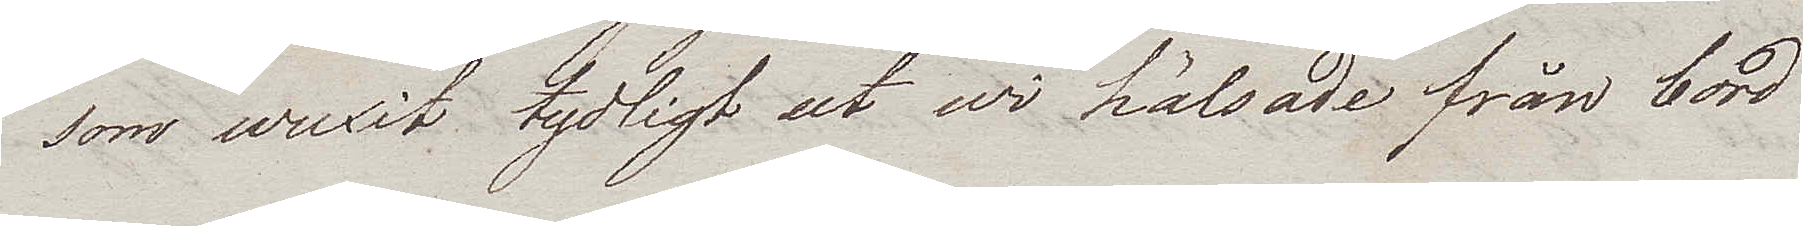som wuxit tydligt ut wi hälsade från bord.
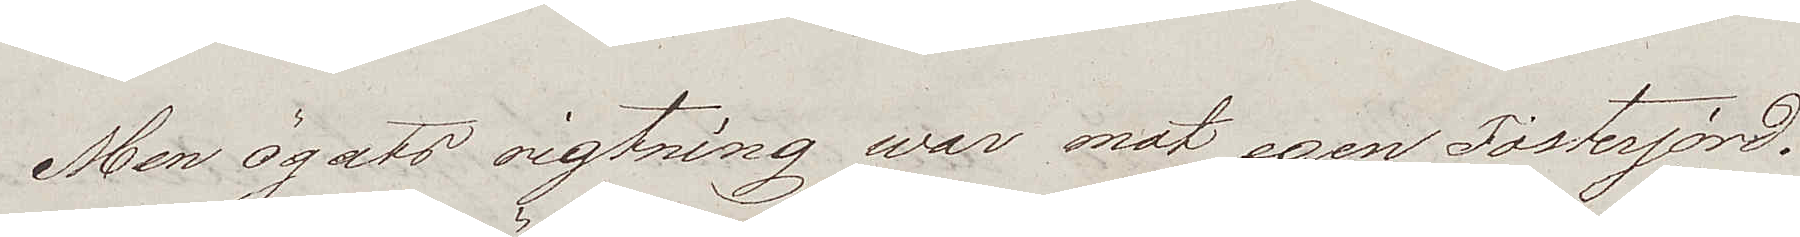Men ögats rigtning war mot egen Fosterjord.
